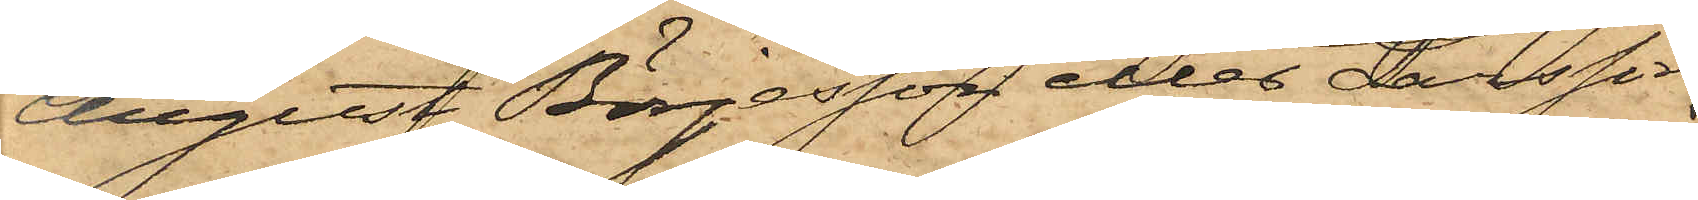August Börjesson eller Larsson
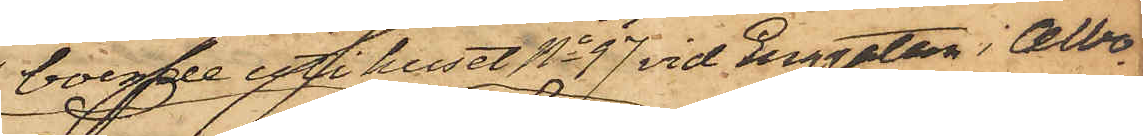boende uti huset No 97 vid Enggatan i Albo¬
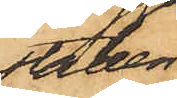staden
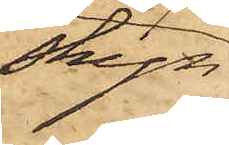skyn¬
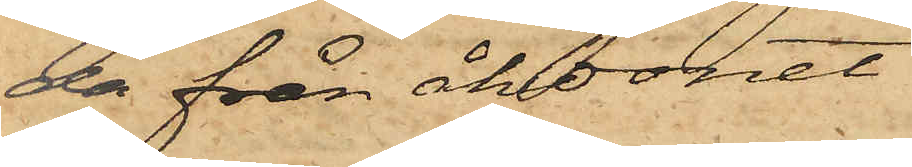da från åkdonet
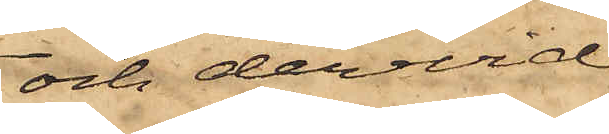och dervid
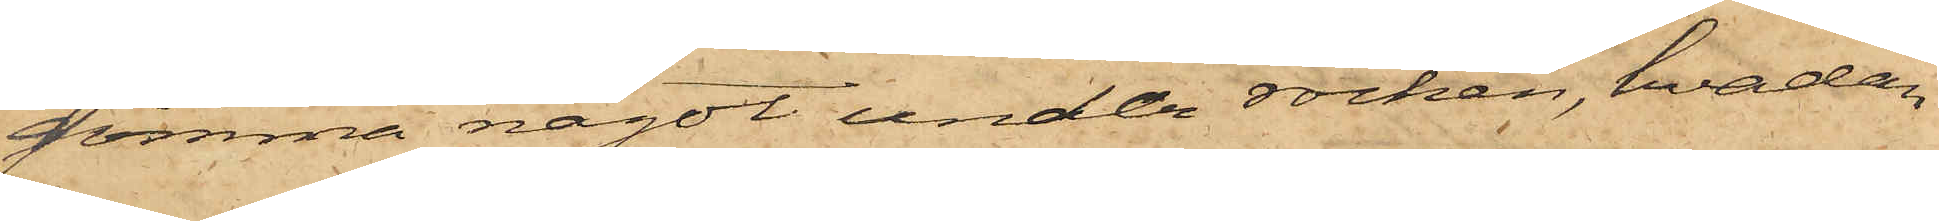gömma något under rocken, hvadan
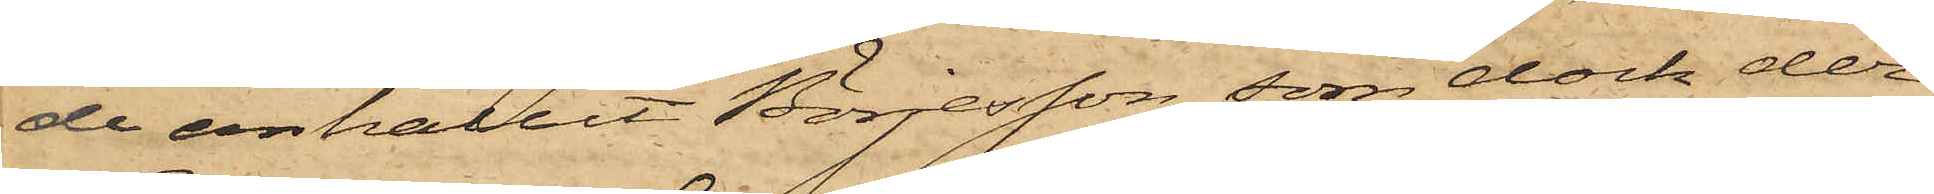de anhållit Börjesson, som dock der¬
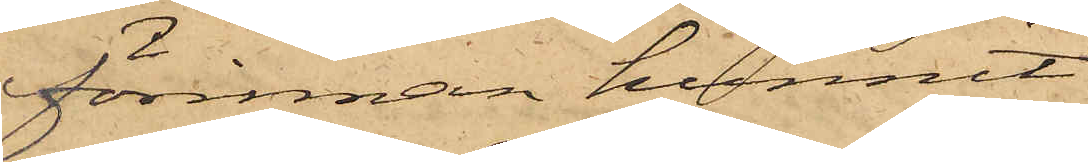förinnan hunnit
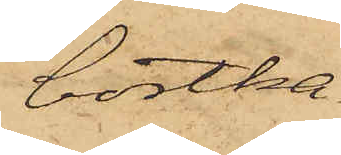bortka¬
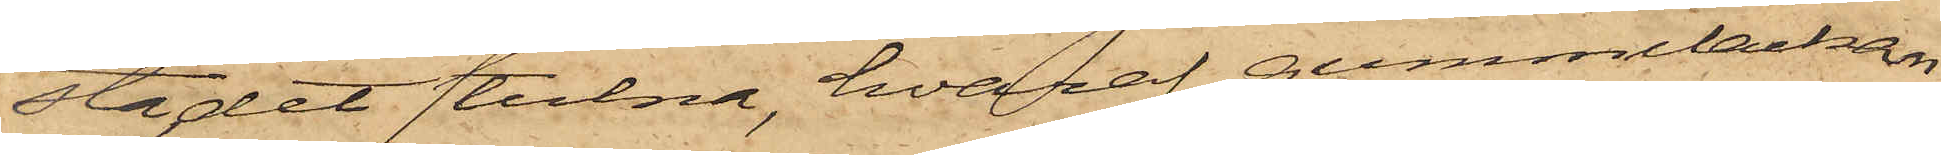sta det stulna, hvaraf gummilackan
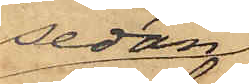sedan
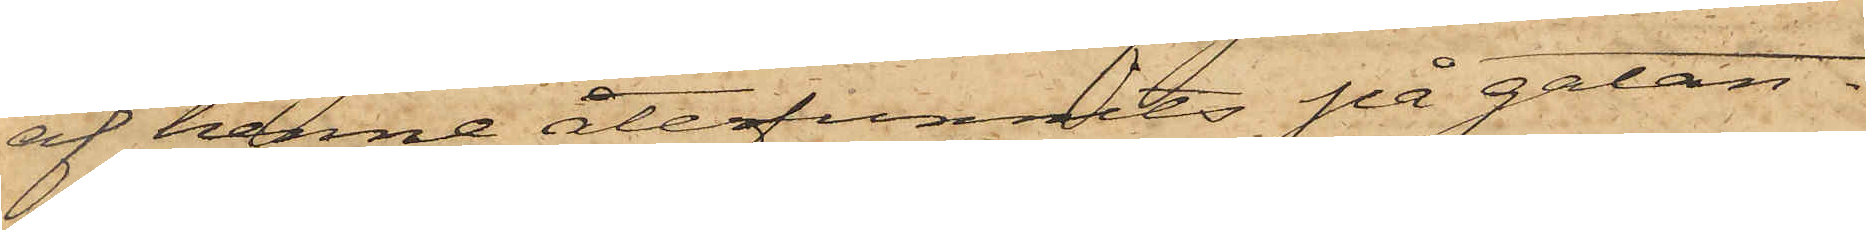af henne återfunnits på gatan.
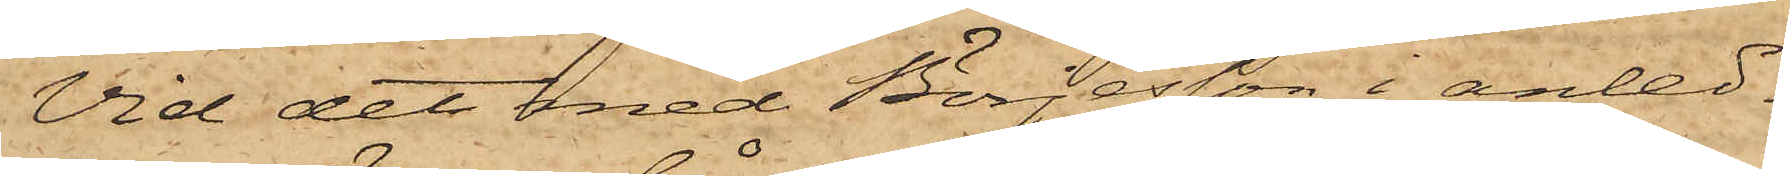Vid det med Börjesson i anled¬
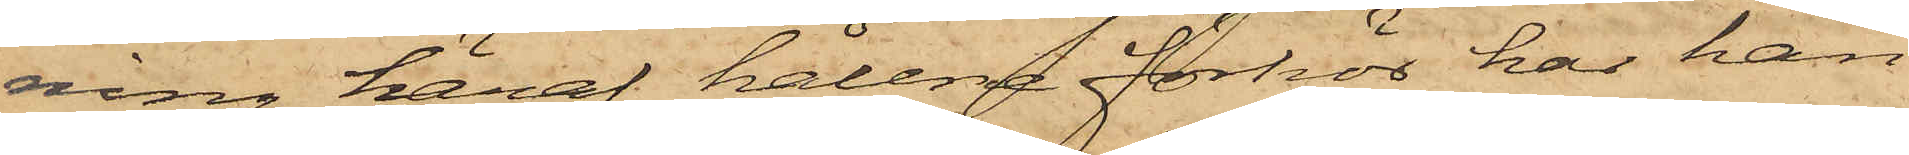ning häraf hållne förhör har han
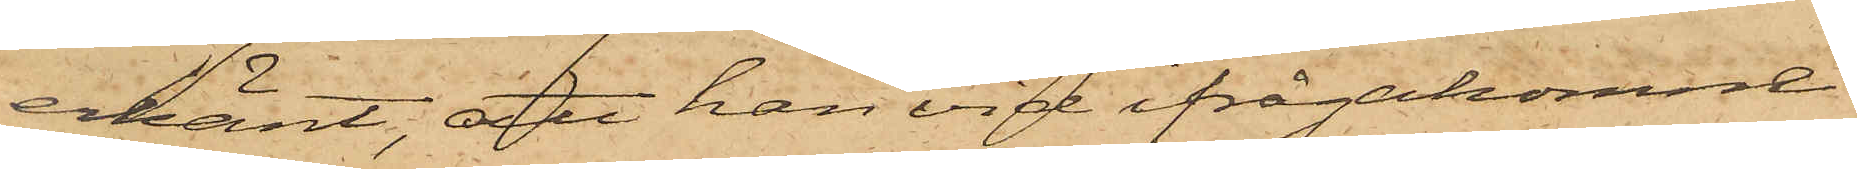erkänt, att han vid ifrågakomne
